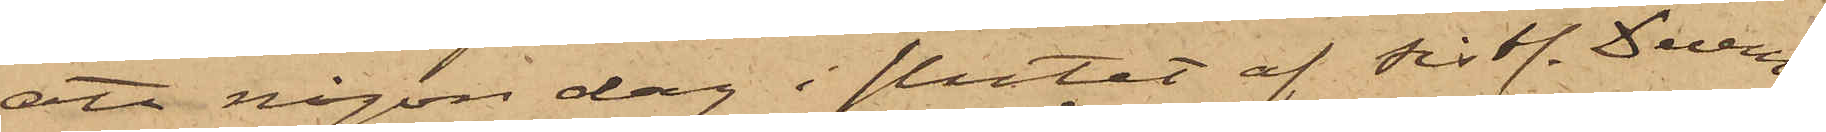att någon dag i slutet af sistl. Decem¬
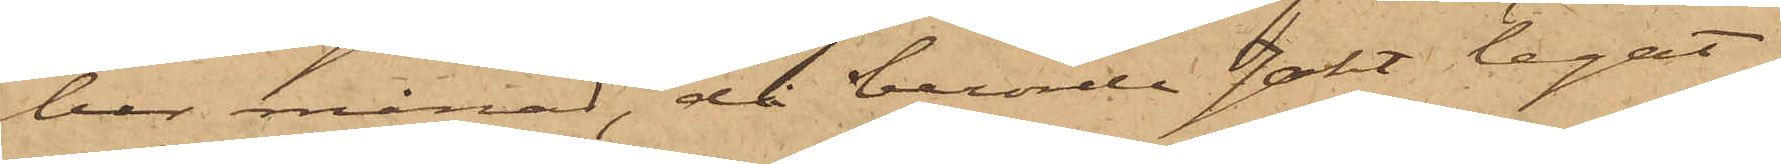ber månad, då berörde Jakt legat
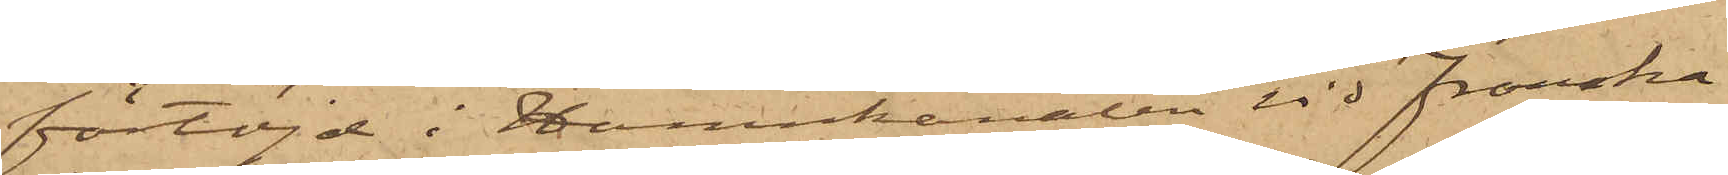förtöjd i Hamnkanalen vid Franska
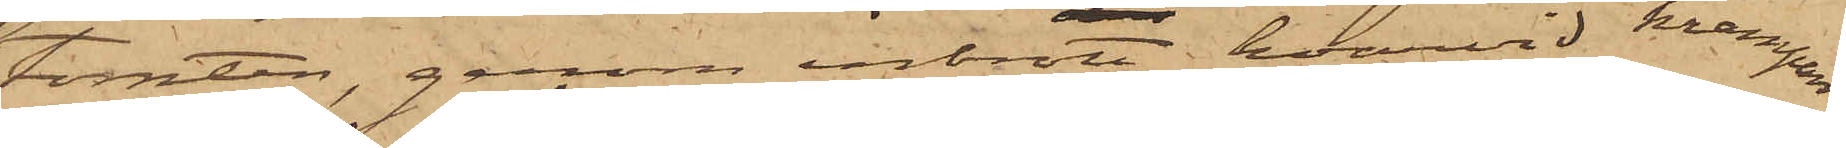Tomten, genom inbrott, hvarvid krampan
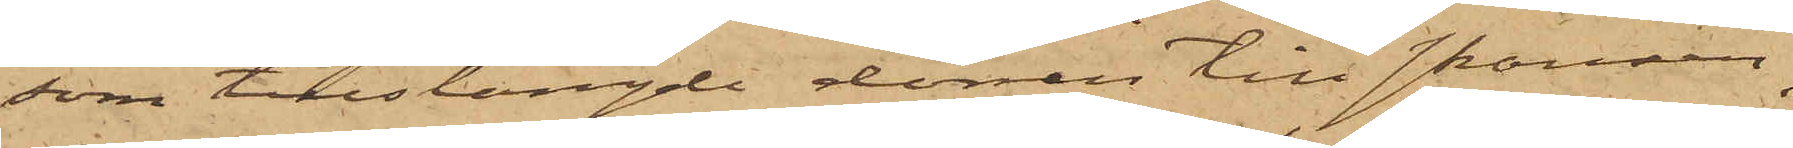som tillstängde dörren till skansen
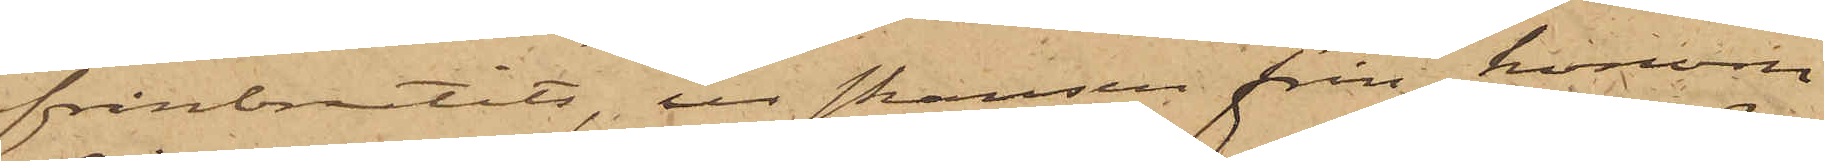frånbrutits, ur skansen från honom
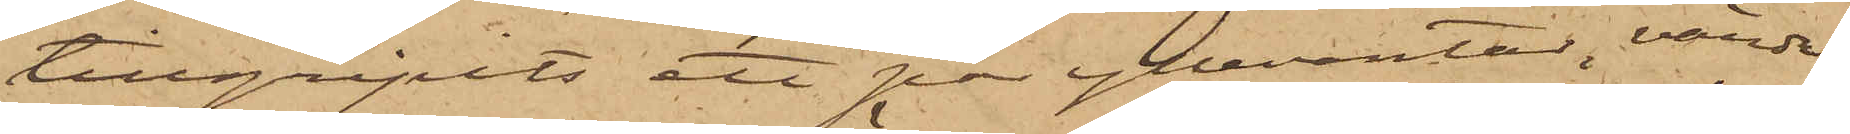tillgripits ett par yllevantar, värde
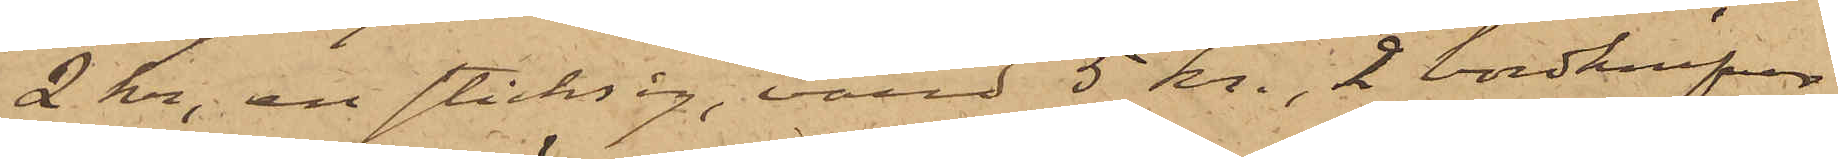2 kr, ett sticksåg, värd 5 kr., 2 bordknifvar,
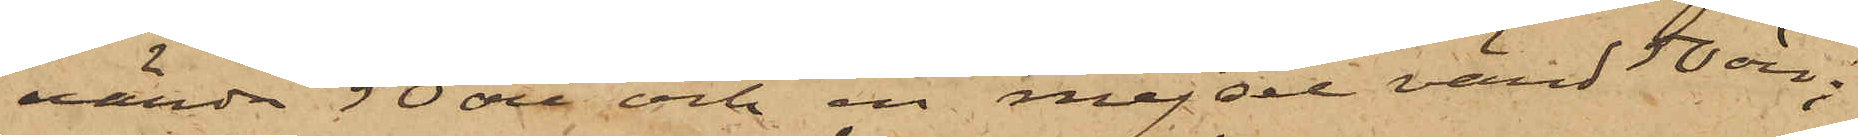värda 50 öre och en mejsel värd 50 öre;
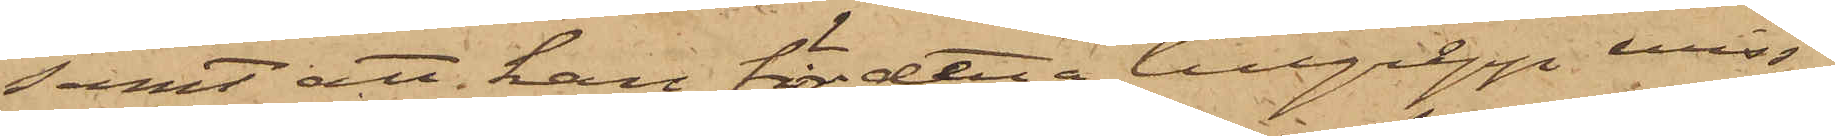samt att han för detta tillgrepp miss¬
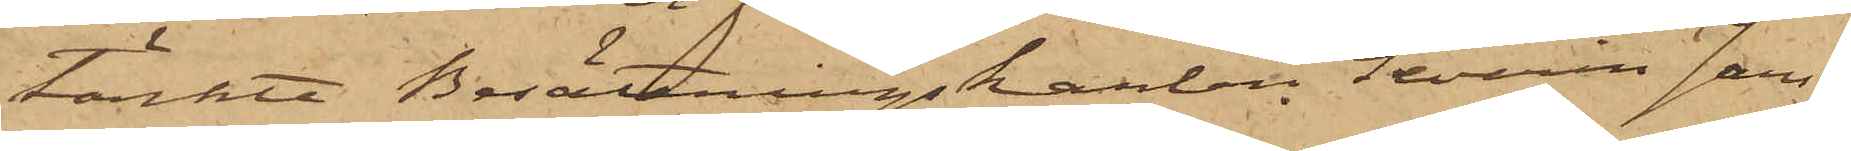tänkte Besättningskarlen Severin Jans¬
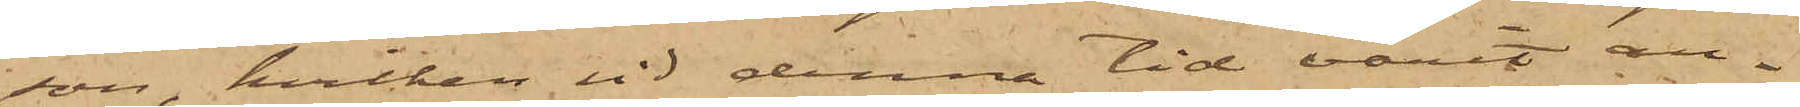son, hvilken vid denna tid varit an¬
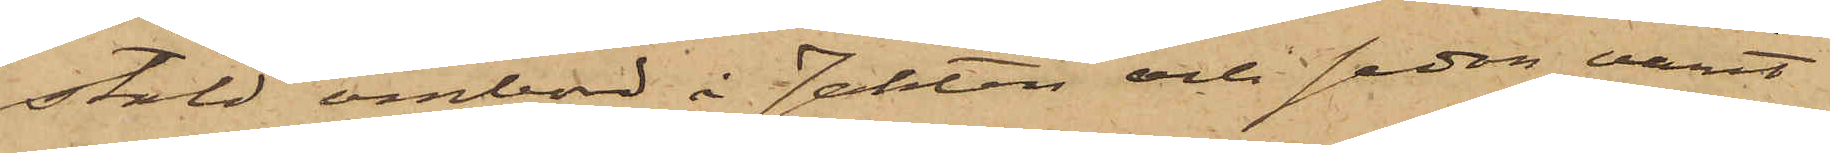stäld ombord å Jakten och sedan varit
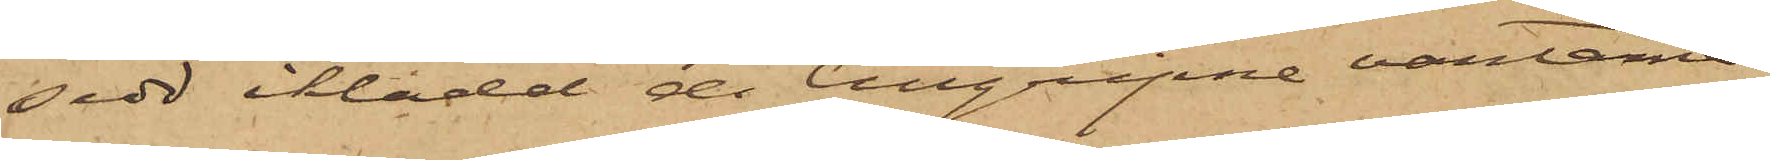sedd iklädd de tillgripne vantarne.
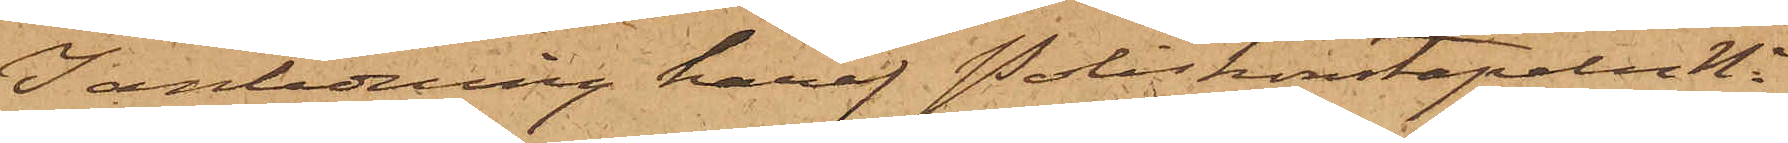I anledning häraf Poliskonstapeln No
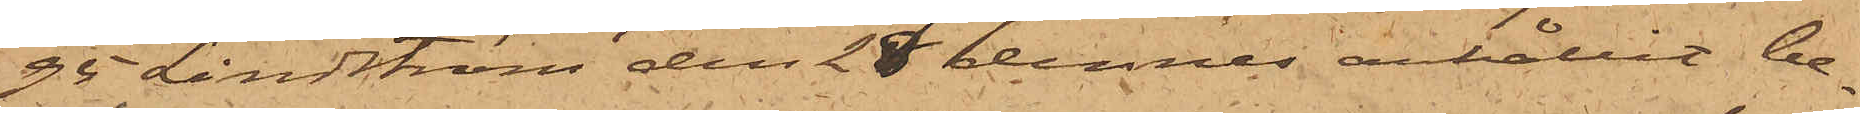95 Lindström den 29 dennes anhållit be¬
